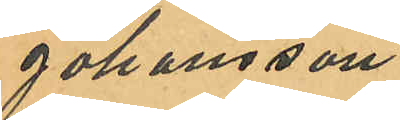Johansson
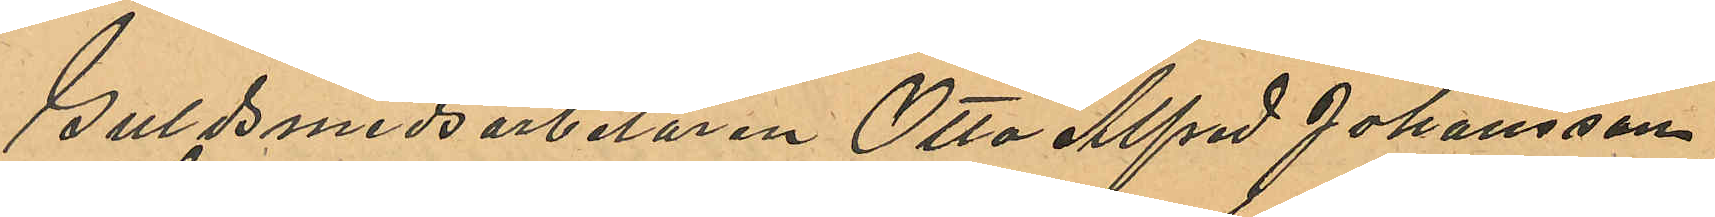Guldsmedsarbetaren Otto Alfred Johansson
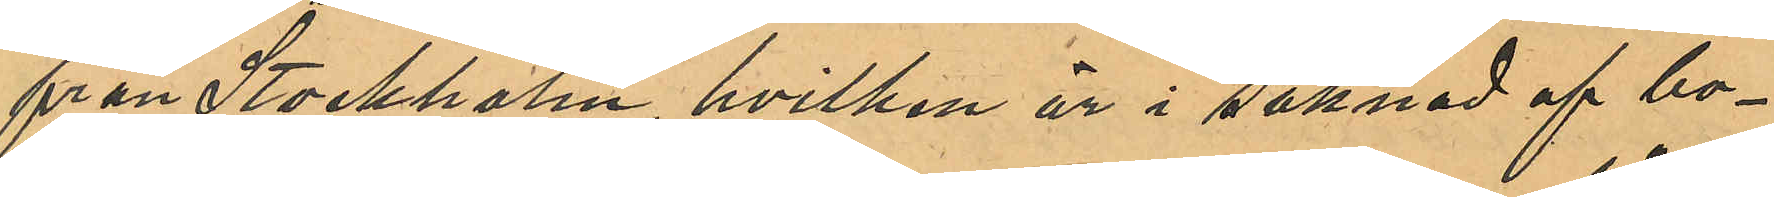från Stockholm, hvilken är i saknad af bo¬
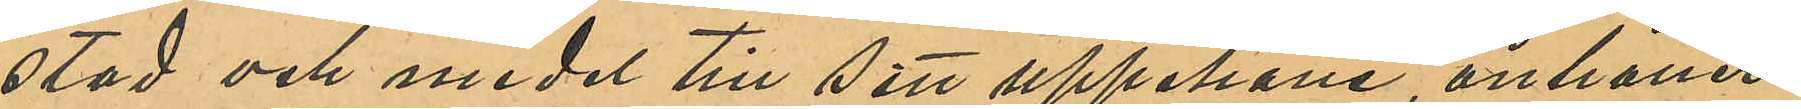stad och medel till sitt uppehälle, anhåller
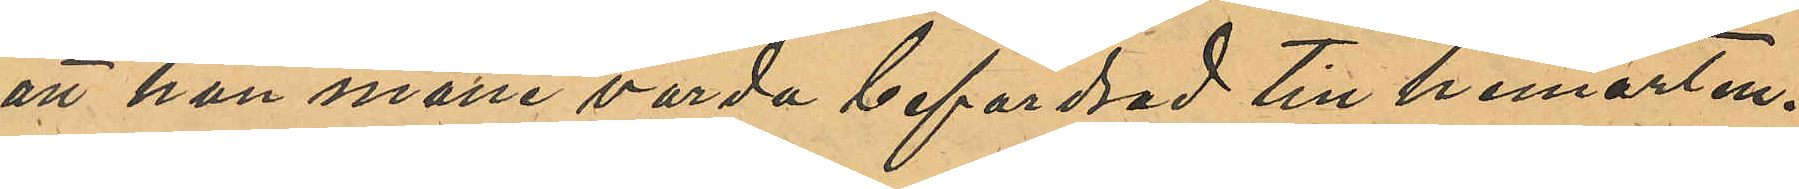att han måtte varda befordrad till hemorten.
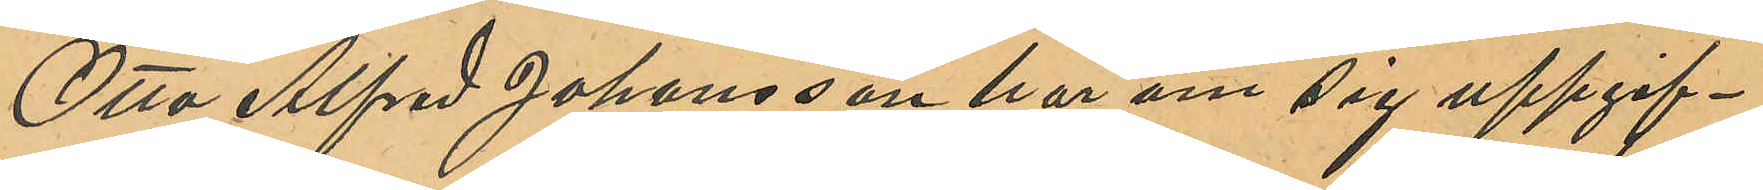Otto Alfred Johansson har om sig uppgif¬
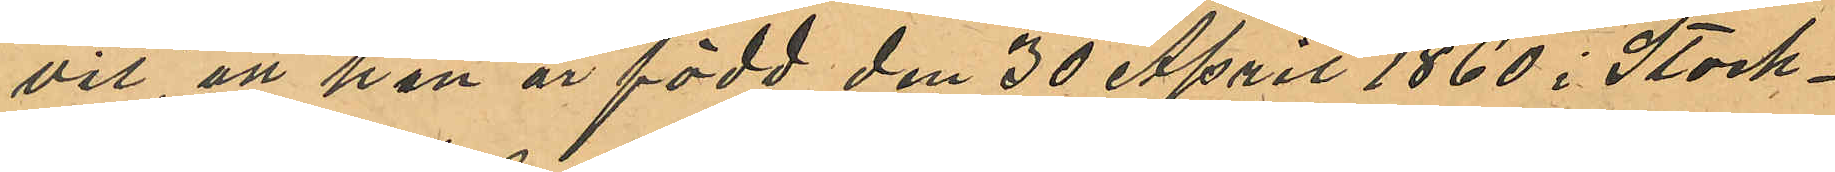vit, att han är född den 30 April 1860 i Stock¬
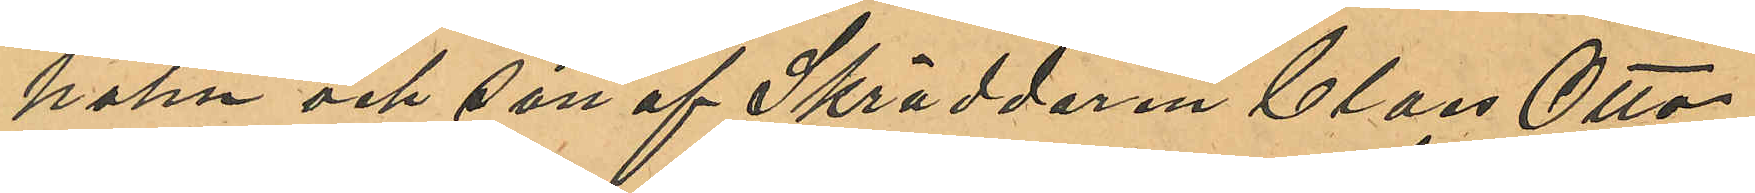hofm och son af Skräddaren Claes Otto
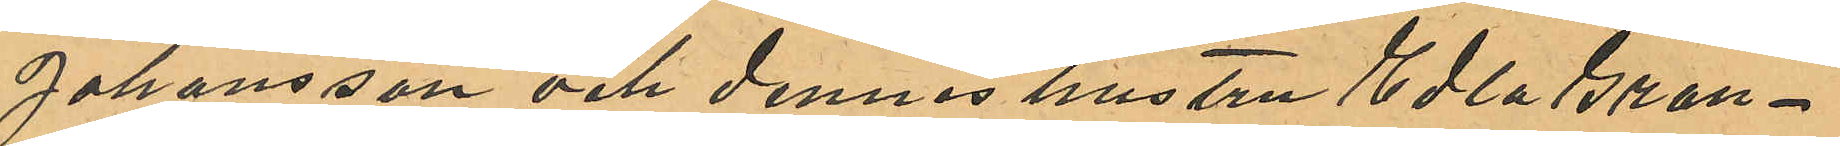Johansson och dennes hustru Edla Gran¬
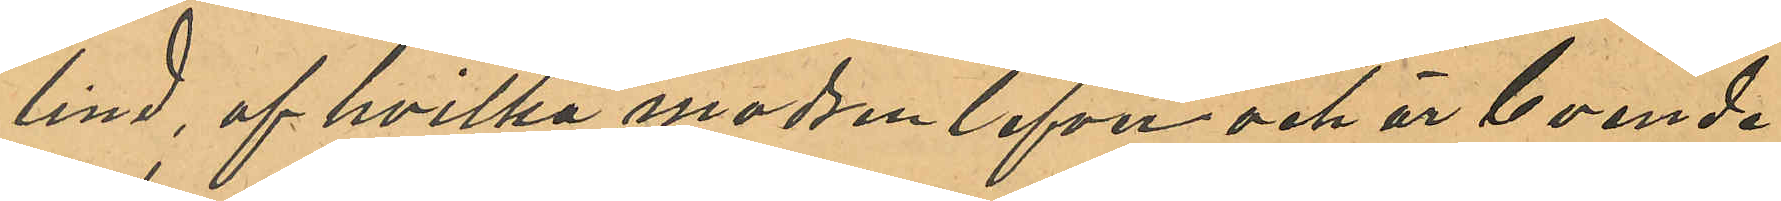lind, af hvilka modren lefva och är boende
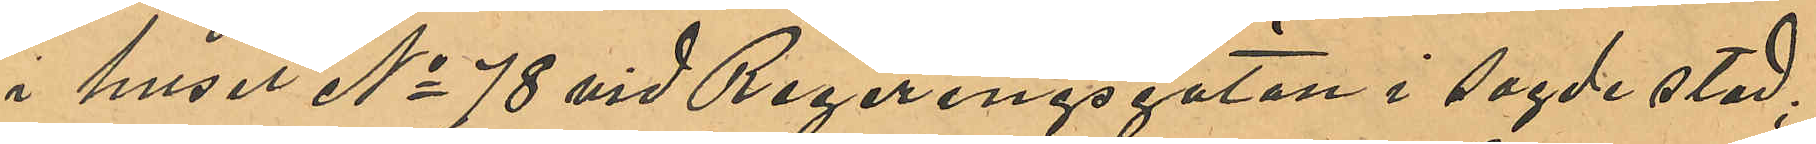i huset No 78 vid Regeringsgatan i sagde stad;
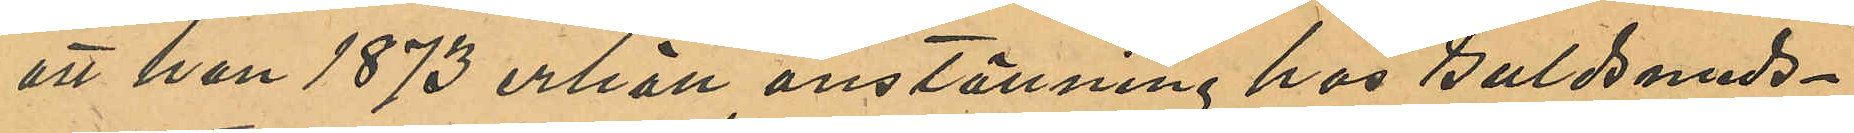att han 1873 erhöll anställning hos Guldsmeds¬
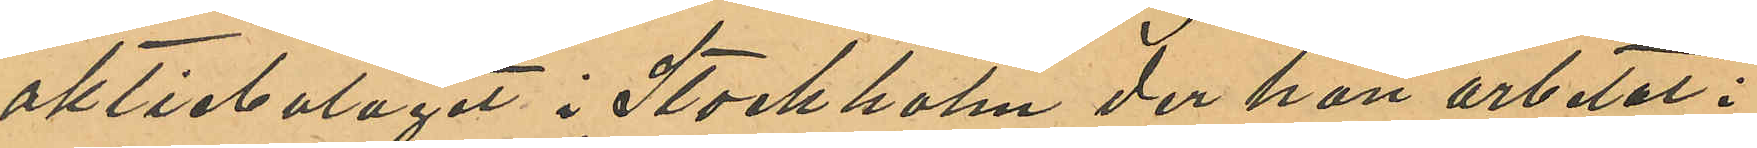aktiebolaget i Stockholm der han arbetat i
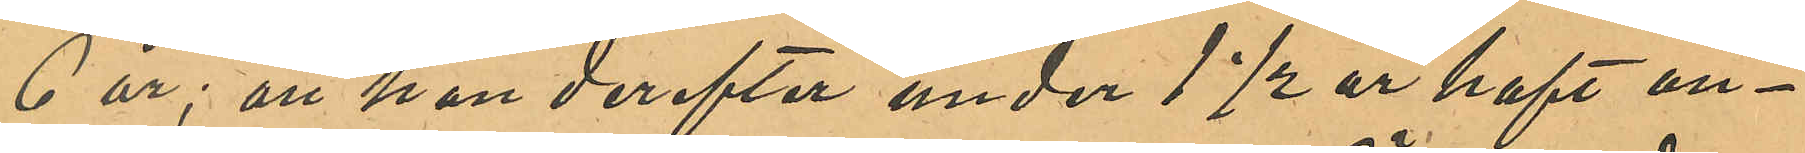6 år; att han derefter under 1½ år haft an¬
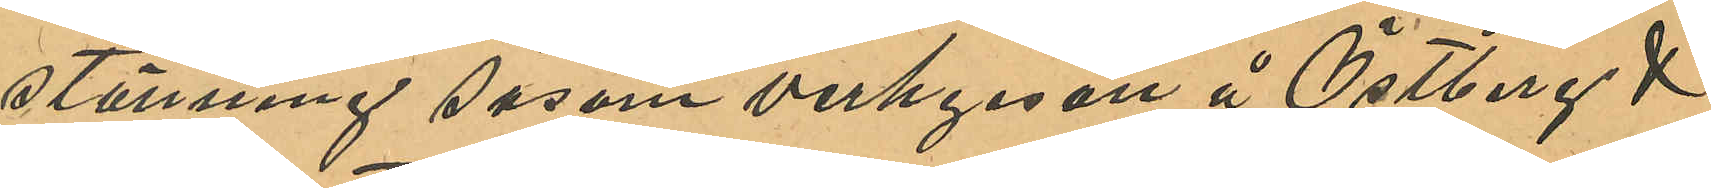stänning såsom verkgesäll å Östberg &
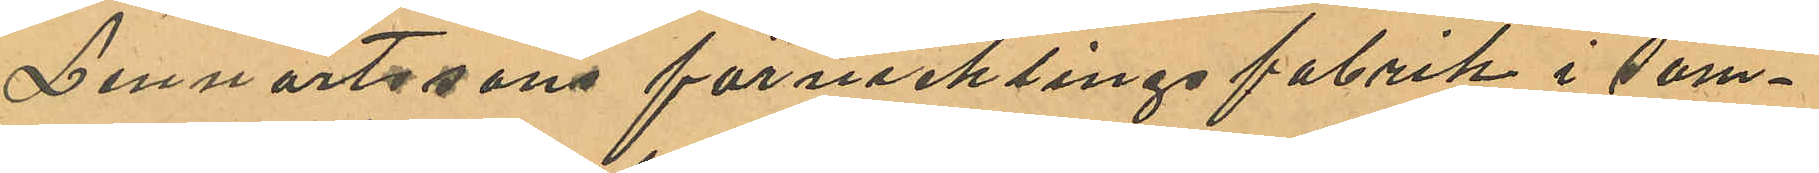Lennartssons förnicklingsfabrik i sam¬
